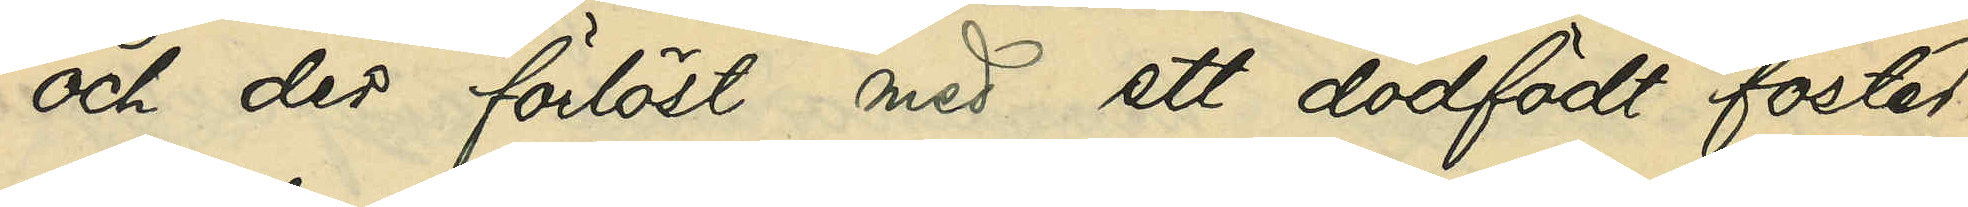och der förlöst med ett dödfött foster;
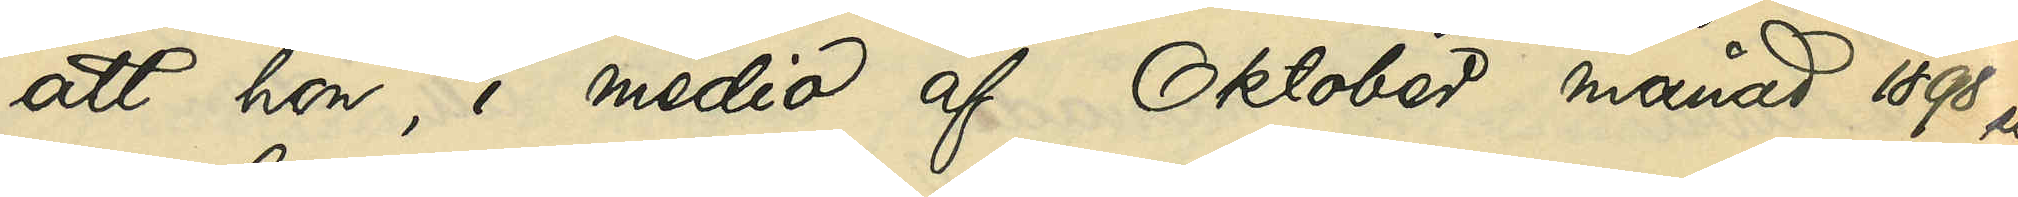att hon i medio af Oktober månad 1898 ut¬
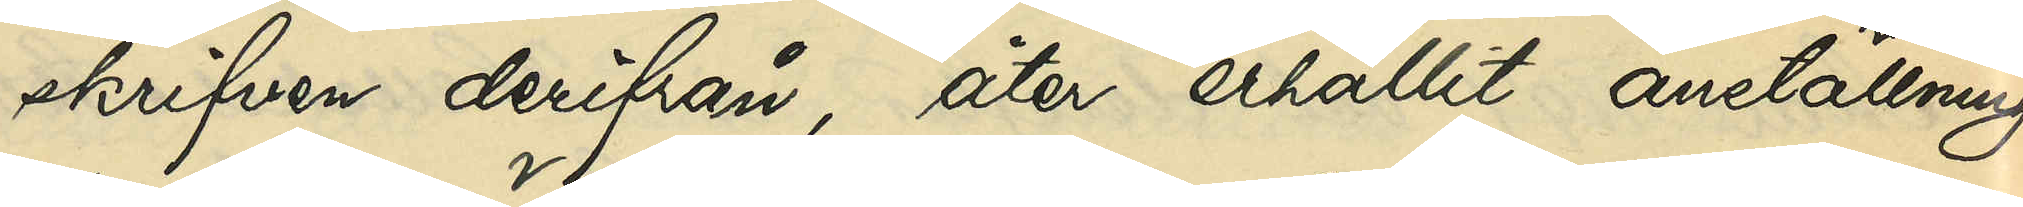skrifven derifrån, åter erhållit anställning
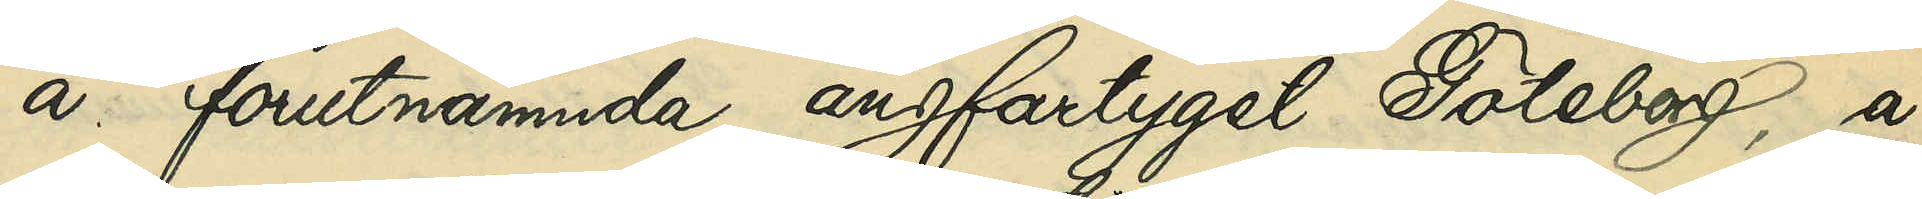å förutnämnda ångfartyget Göteborg, å
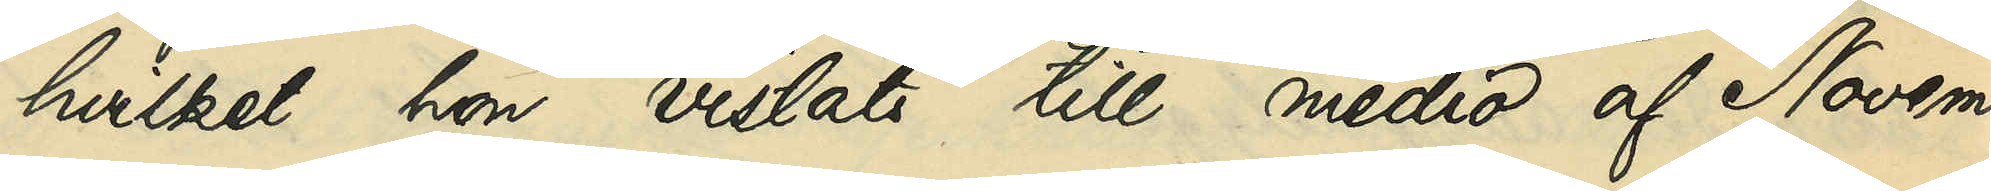hvilket hon vistats till medio af Novem¬
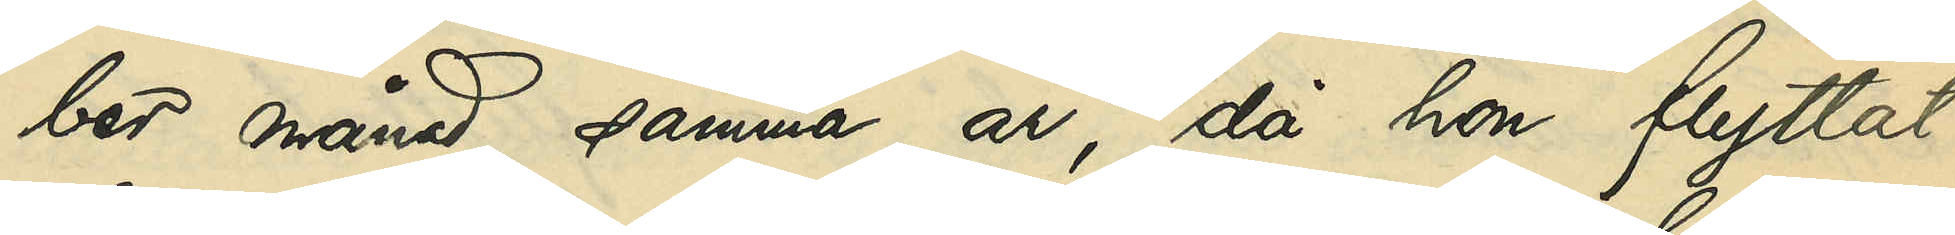ber månad samma år, då hon flyttat
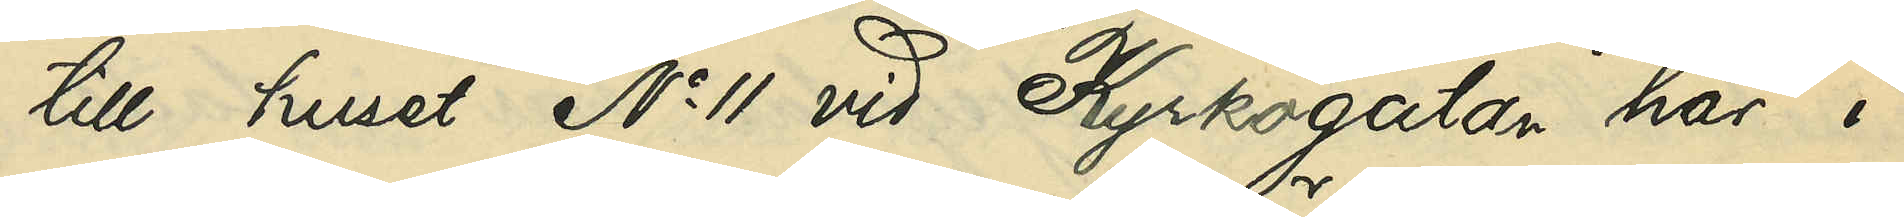till huset No 11 vid Kyrkogatan här i
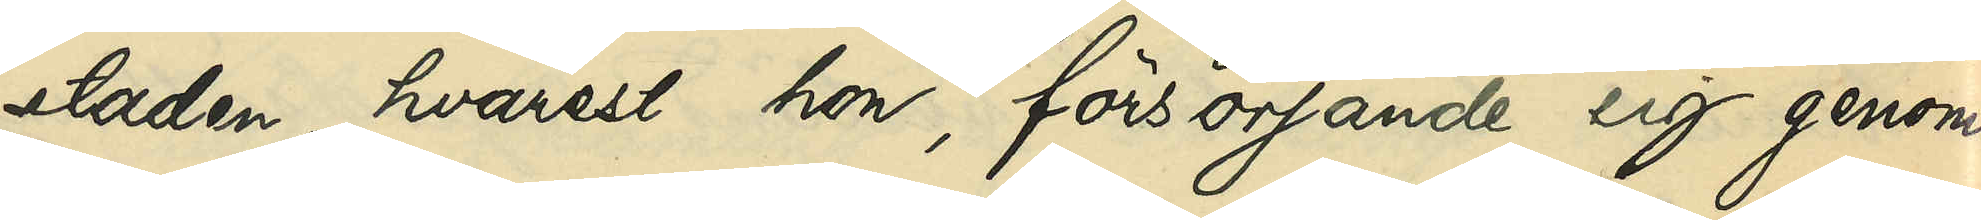staden, hvarest hon, försörjande sig genom
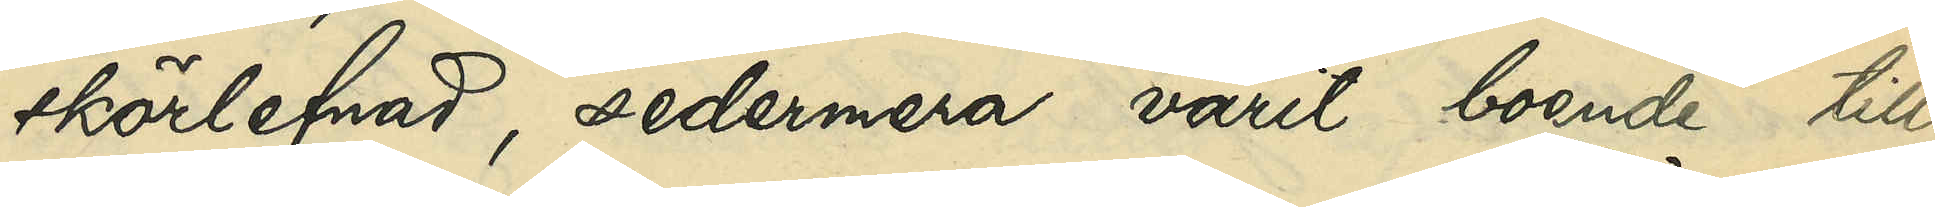skörlefnad, sedermera varit boende till
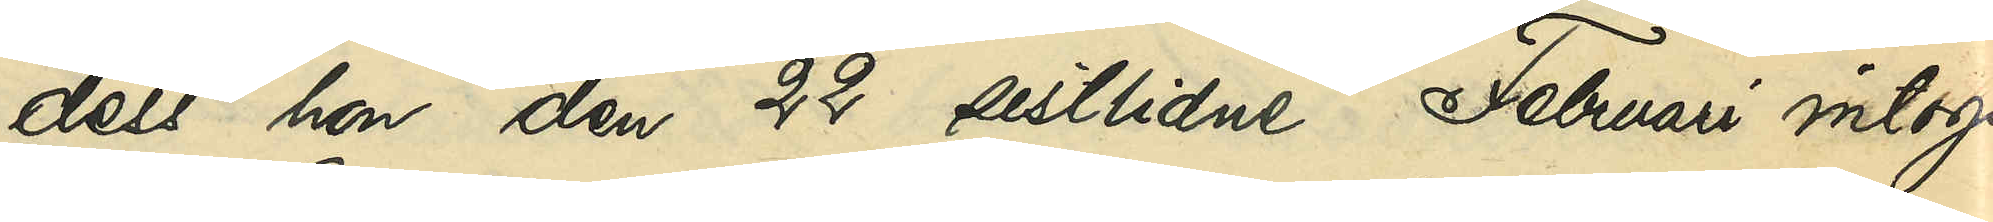dess hon den 22 sistlidne Februari intogs
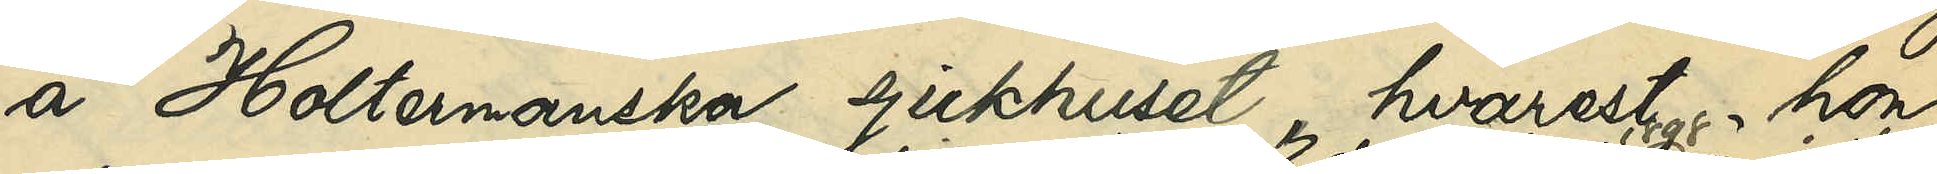å Holtemanska sjukhuset, hvarest, hon
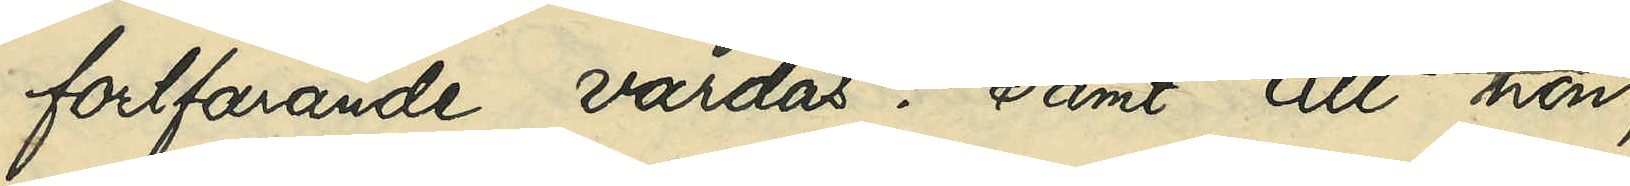fortfarande vårdas; samt att hon
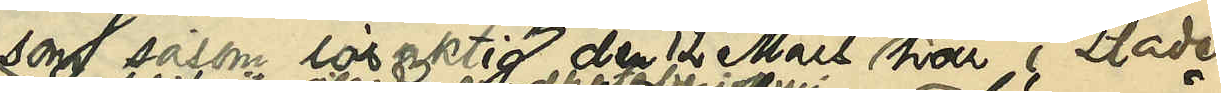som såsom lösaktig den 12 Mars 1898 här i staden
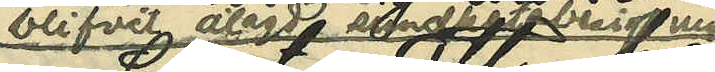blifvit ålagd sundhetsbesigtning,
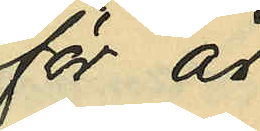för år
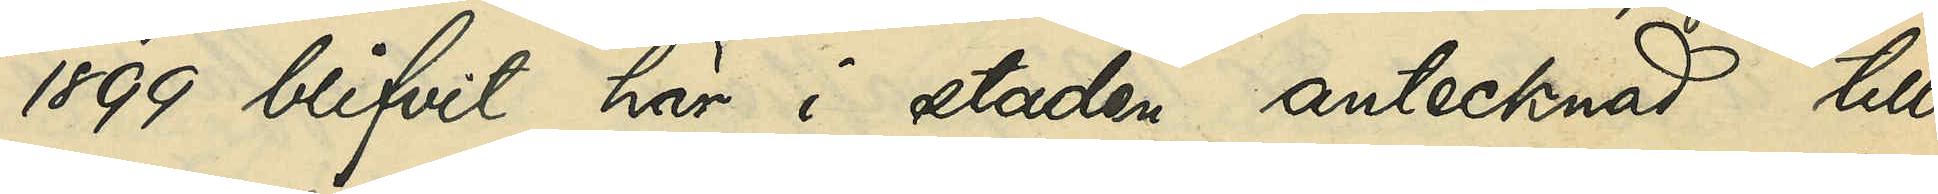1899 blifvit här i staden antecknad till
